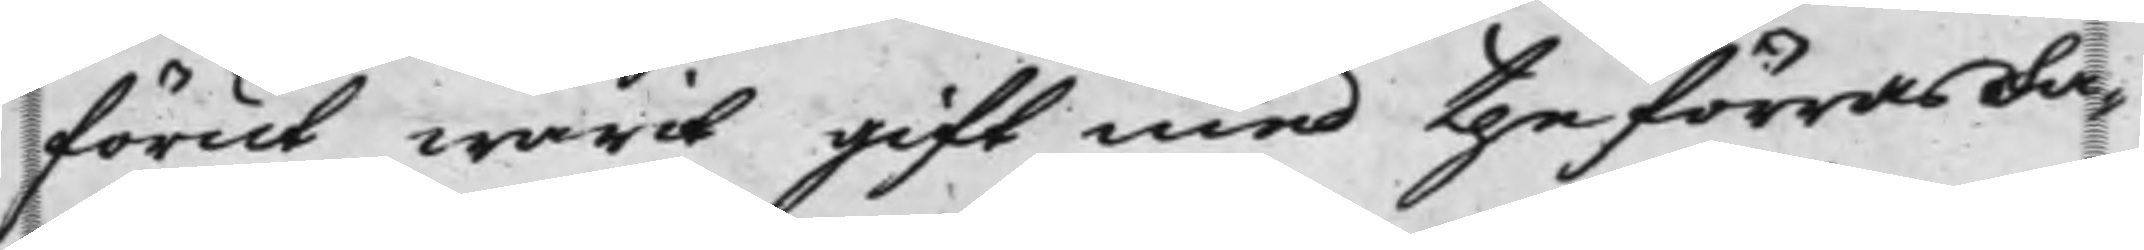förut warit gift med the förras Fa¬
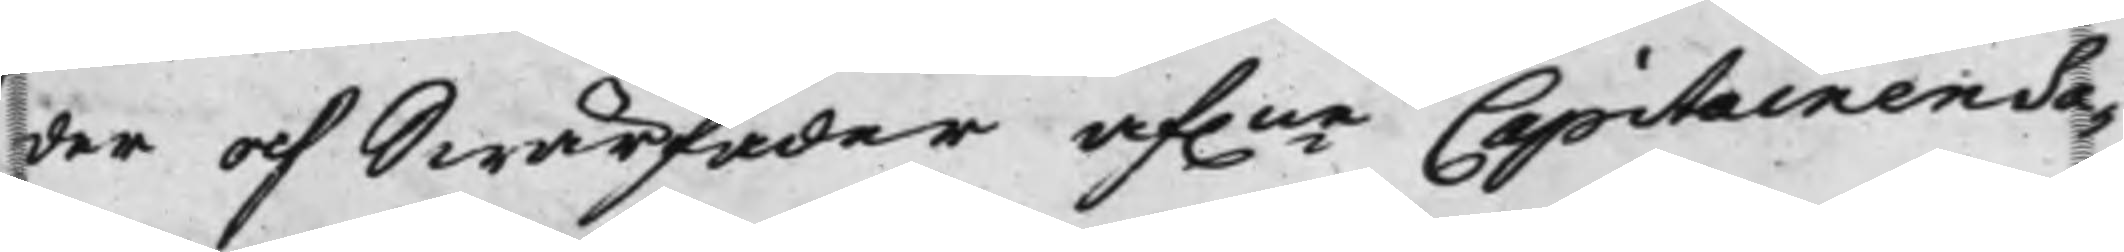der och Swärfader af.ne Capitainen Sa¬
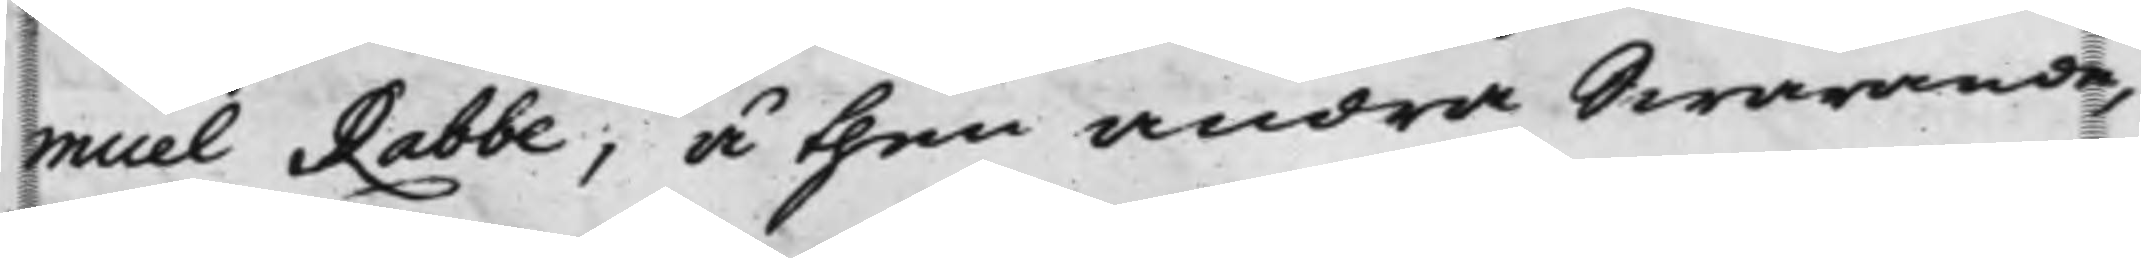muel Rabbe, å then andra Swarande,
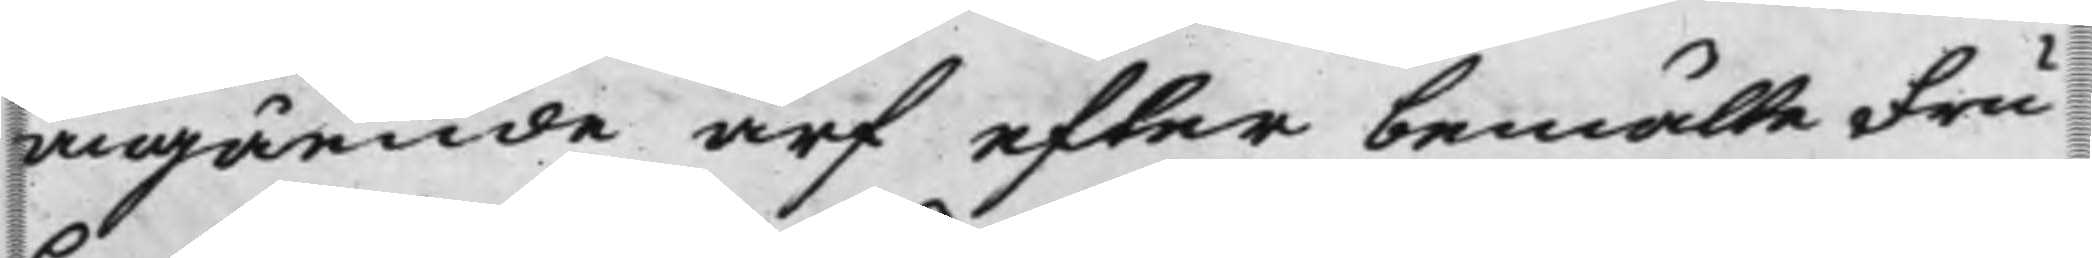angående arf efter bemälte Fru
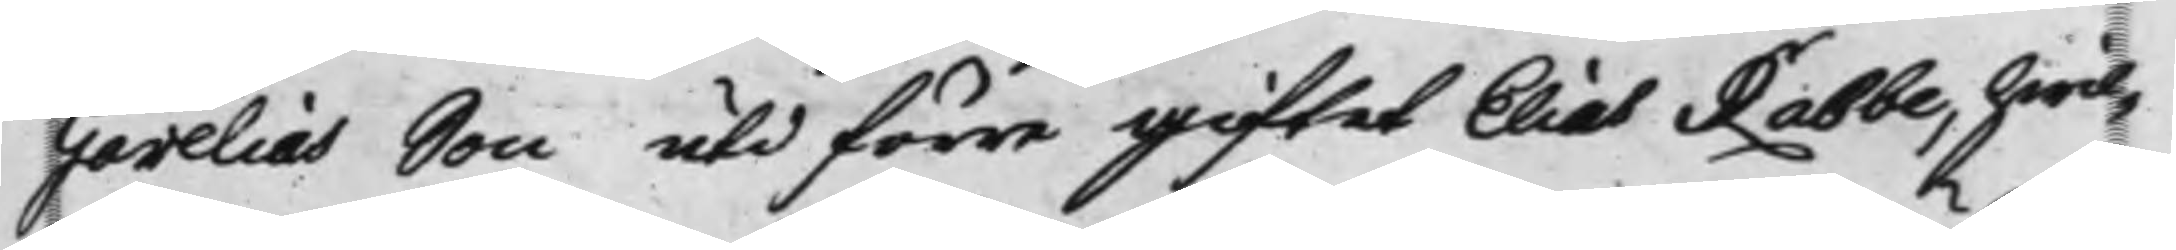Gerelias Son uti förra giftet Elias Rabbe, hwil¬
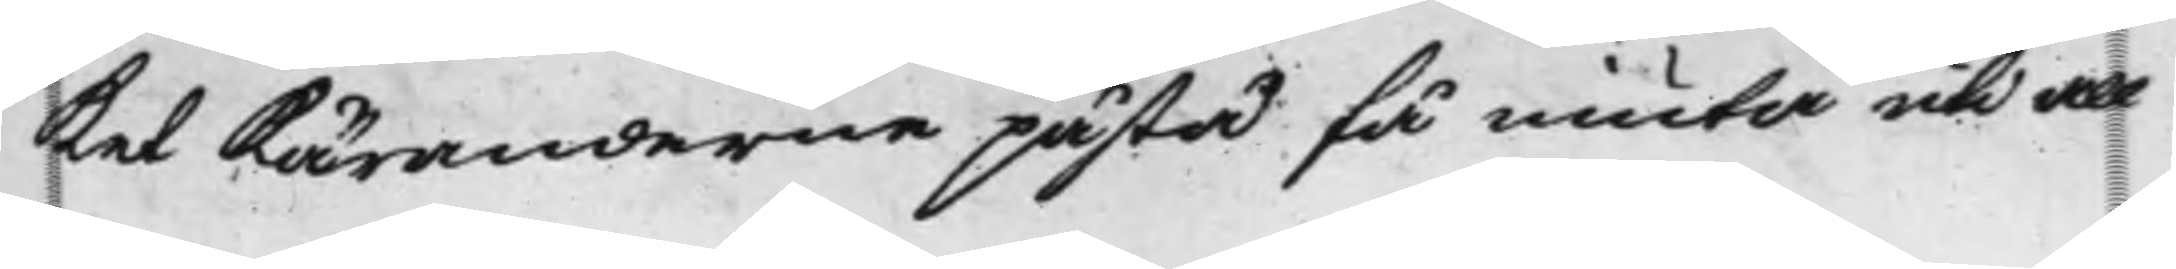ket Käranderne påstod få niuta uti all
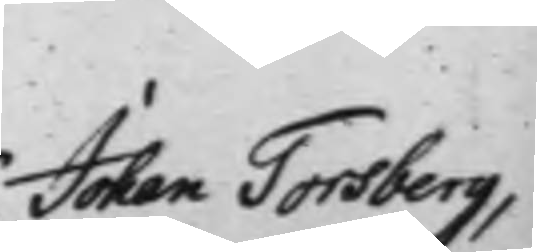Johan Torsberg,
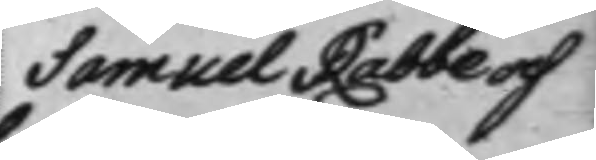Samuel Rabbe och
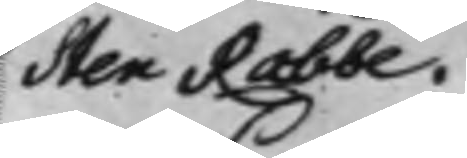Sten Rabbe.
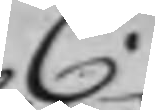C.
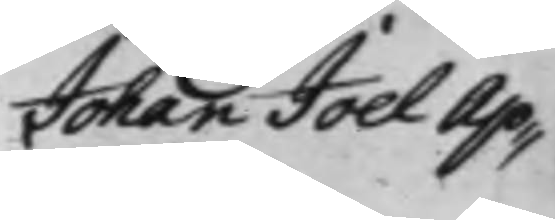Johan Joel Ap¬
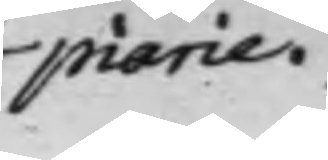piarie.
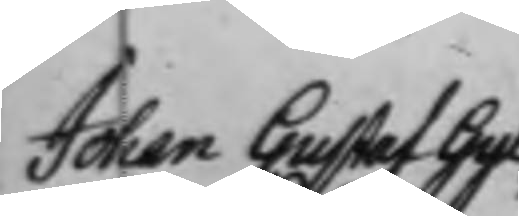Johan Gustaf Gyl¬
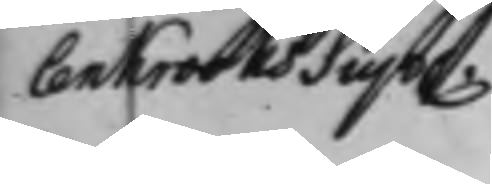lenkrooks Sup.
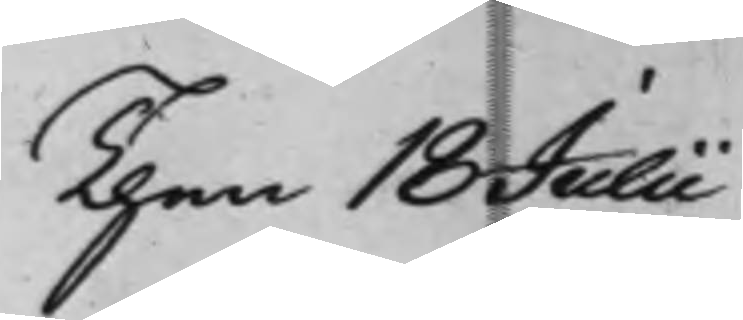Then 18 Julii
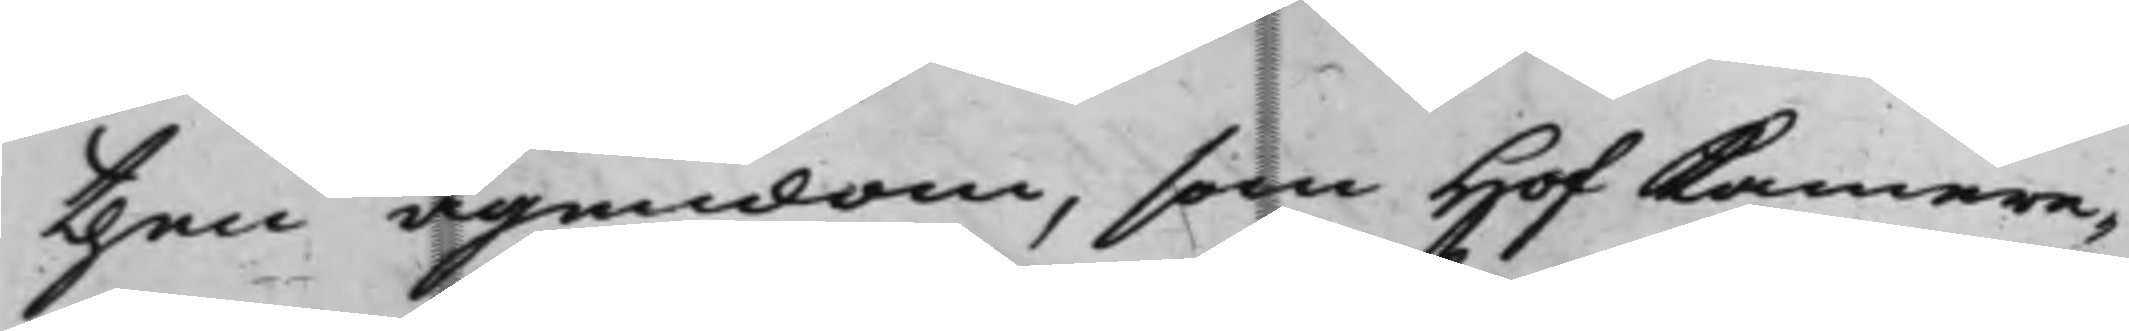then ägendom, som Hof Kamere¬
